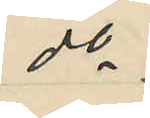do
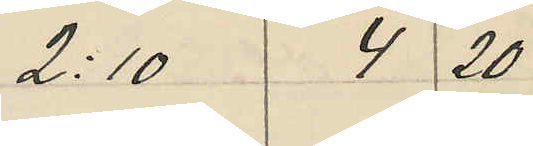2,10 4 20
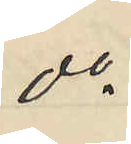do
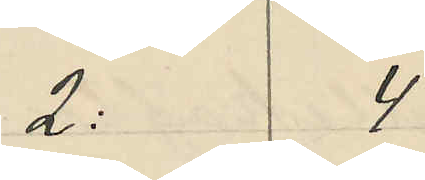2: 4
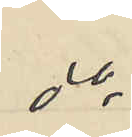do
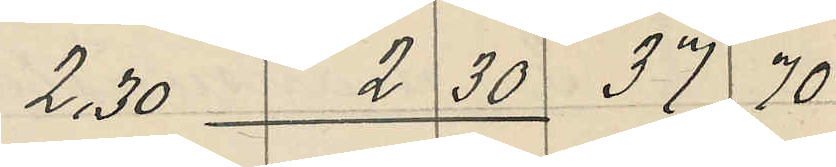2,30  2 30 37 70
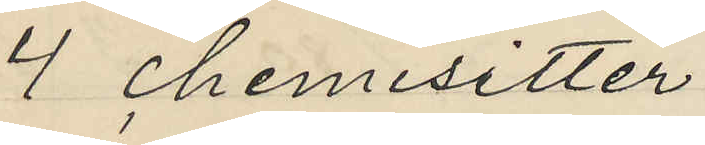4 chemisetter
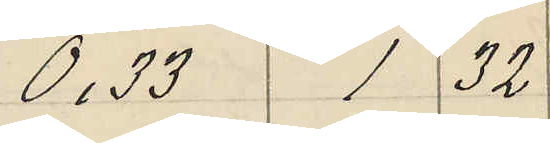0,33 1 32
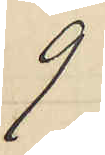9
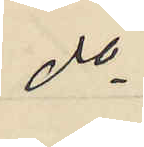do
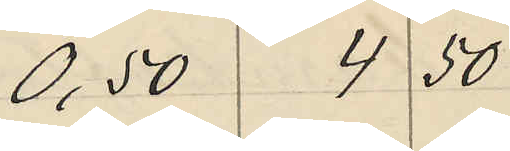0,50 4 50
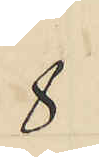8
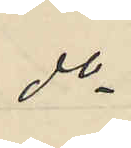do
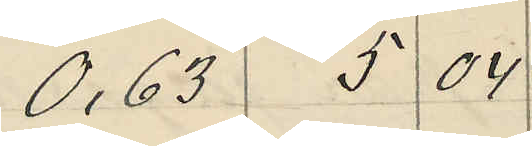0,63 5 04
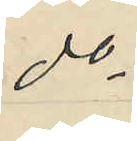do
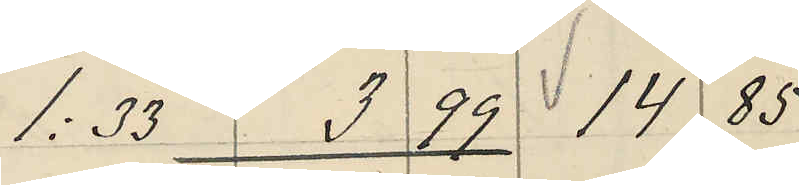1,33 3 99 14 85
